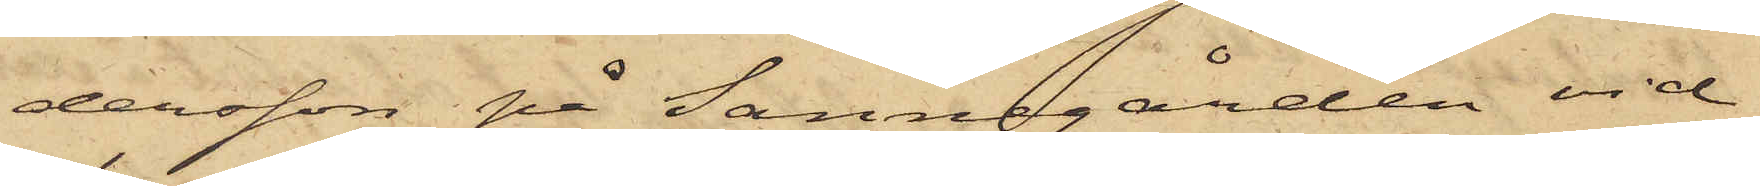dersson på Sannegården vid
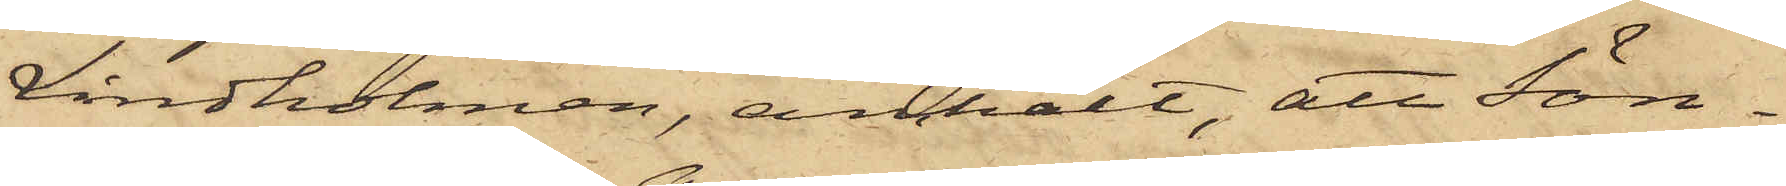Lindholmen, anmält, att Sön¬
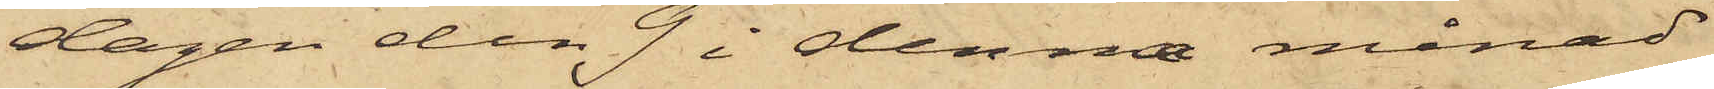dagen den 9 i denna månad
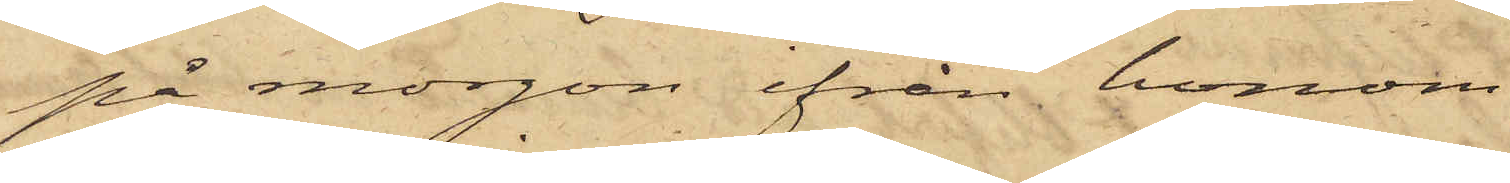på morgon ifrån honom
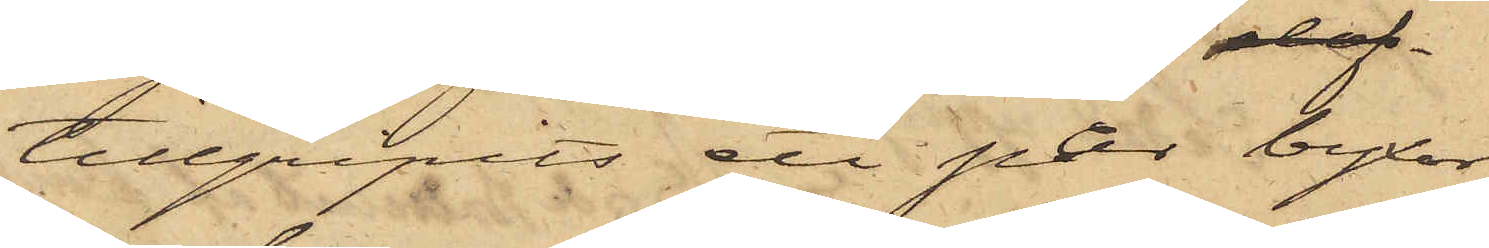tillgripits ett par byxor
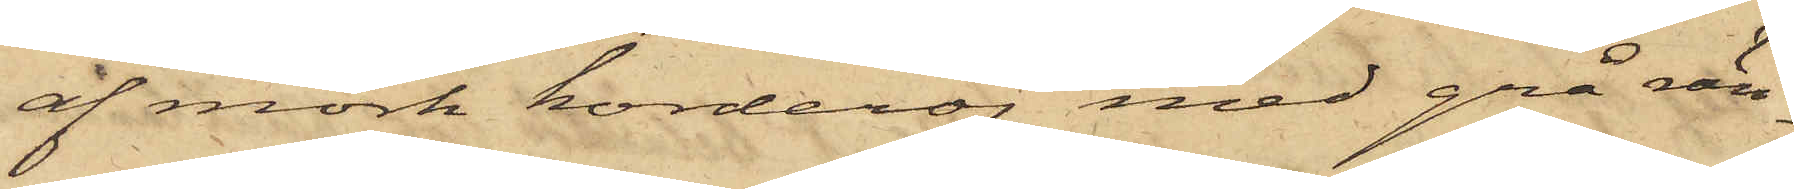af mörk korderoj med grå rän¬
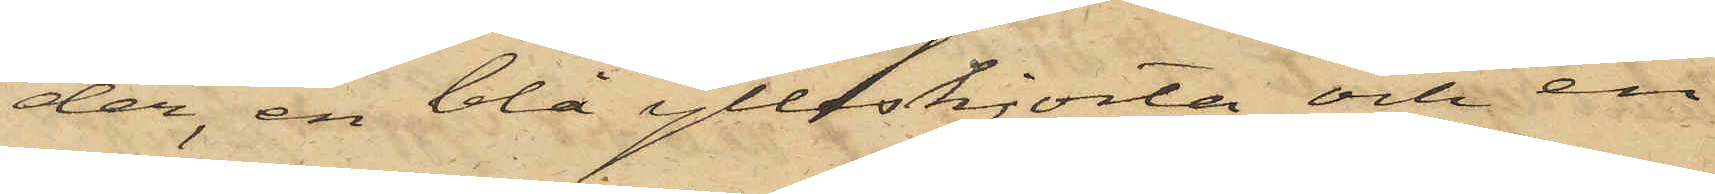der, en blå ylleskjorta och en
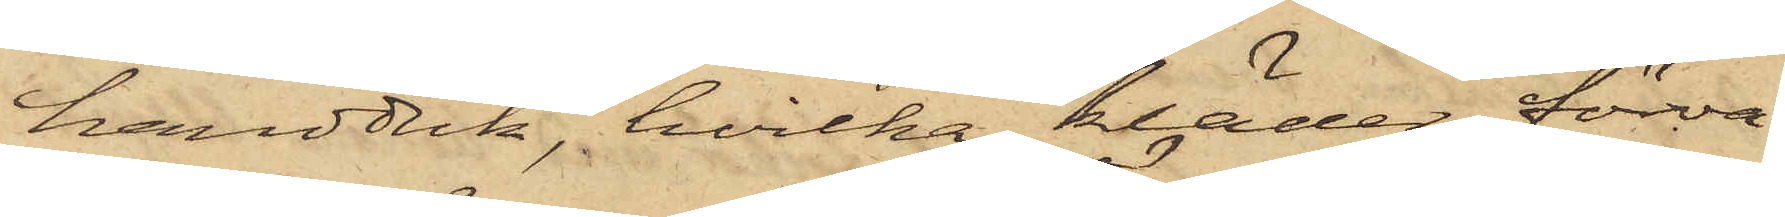handduk, hvilka kläder förva¬
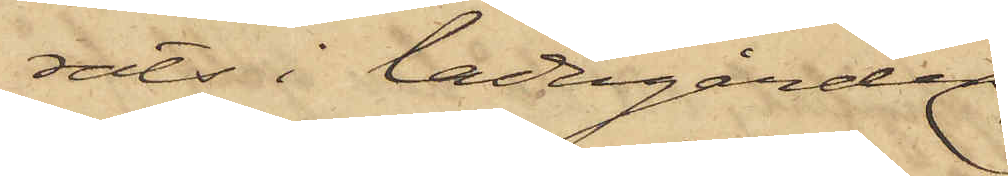rats i ladugården
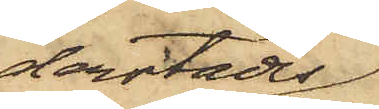derstädes;
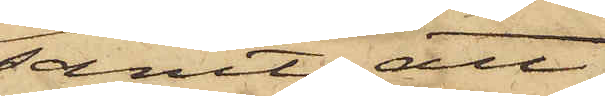samt att
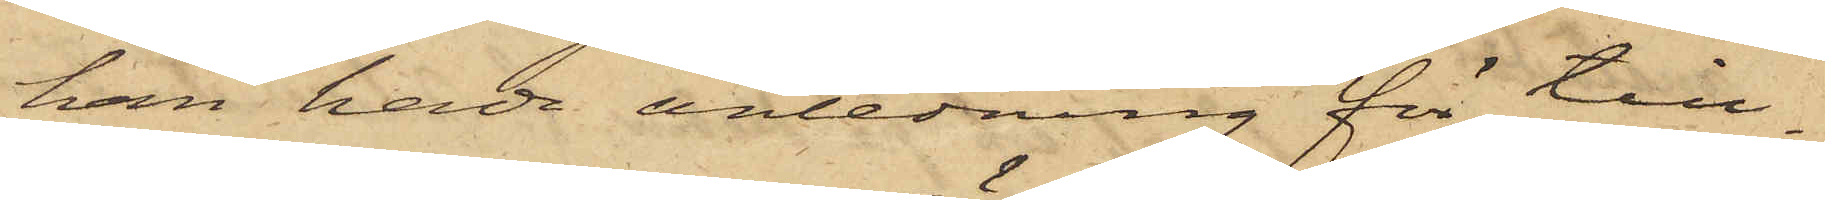han hade anledning för till¬
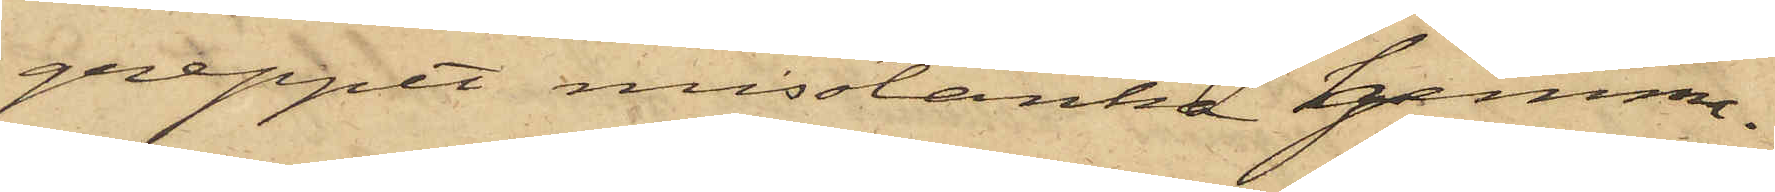greppet misstänka hemma¬
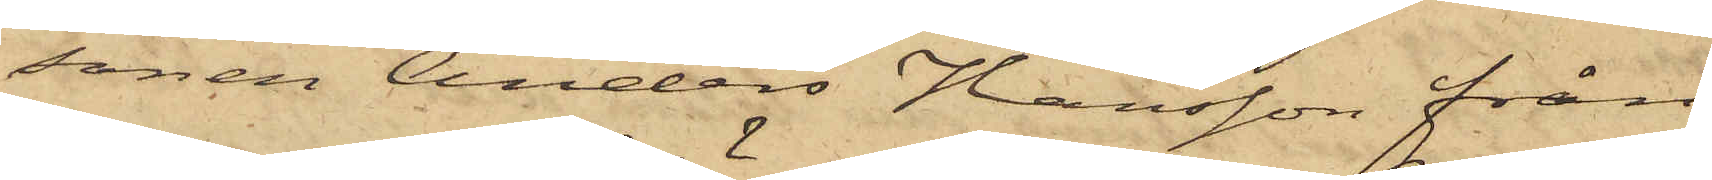sonen Anders Hansson från
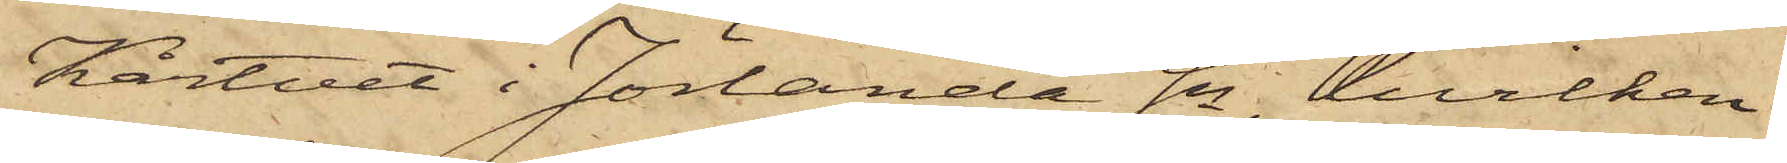Kårtvet i Jörlanda Sn, hvilken
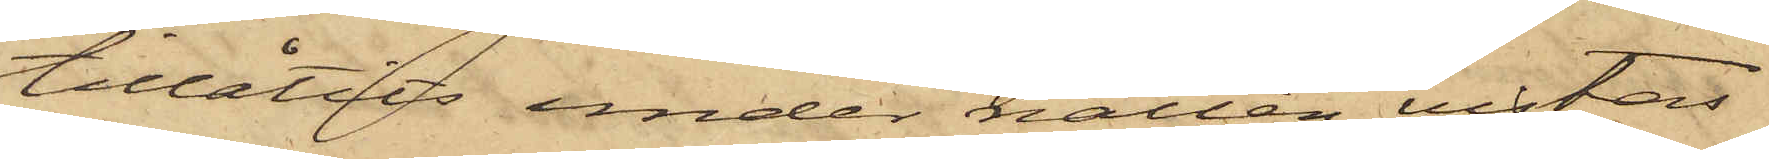tillåtits under natten vistas
